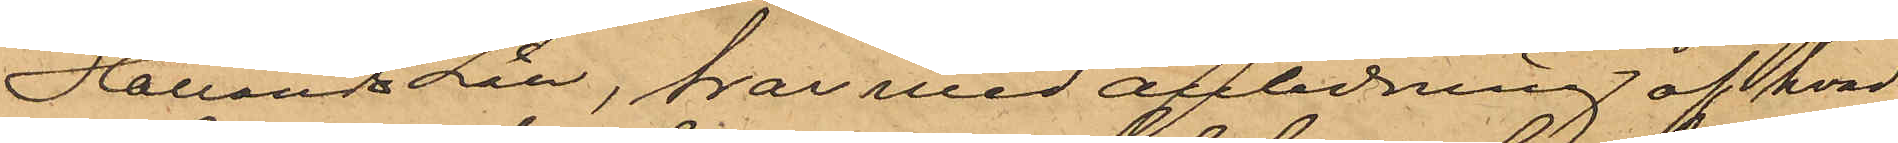Hallands Län, har med anledning af hvad
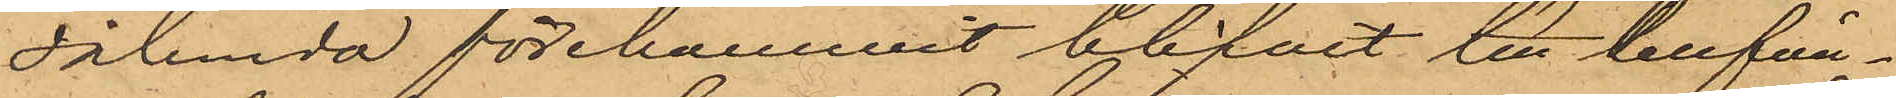sålunda förekommit blifvit till Cellfän¬
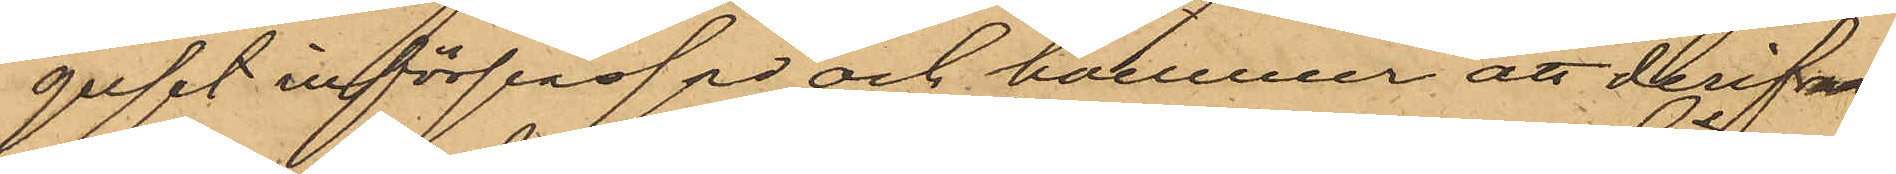gelset införpassad och kommer att derifrån
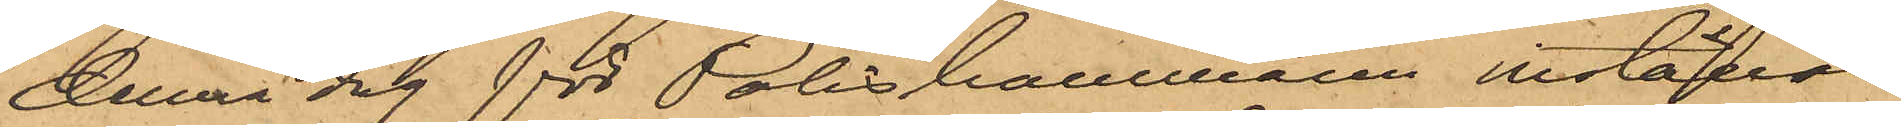denna dag för Poliskammaren inställas.
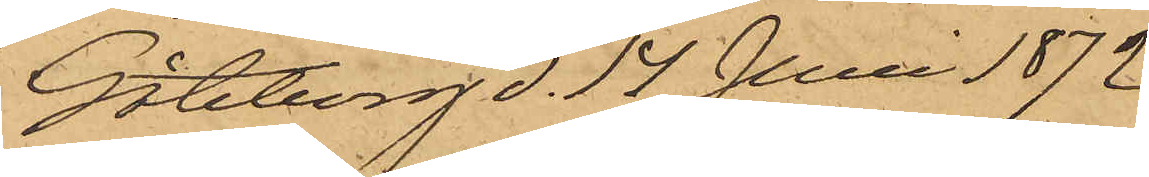Göteborg d. 14 Juni 1872.
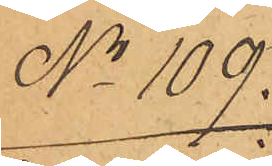No 109.
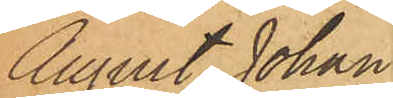August Johan
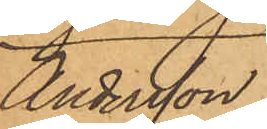Andersson.
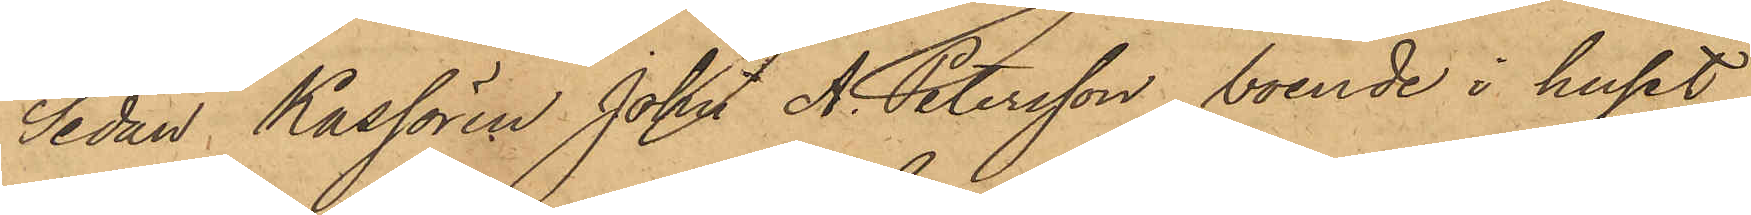Sedan Kassören John A. Petersson, boende i huset
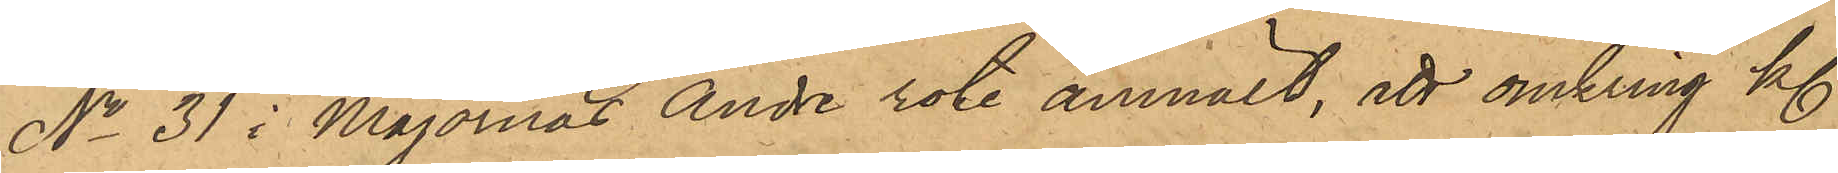No 31 i Majornas Andre rote anmält, att omkring kl.
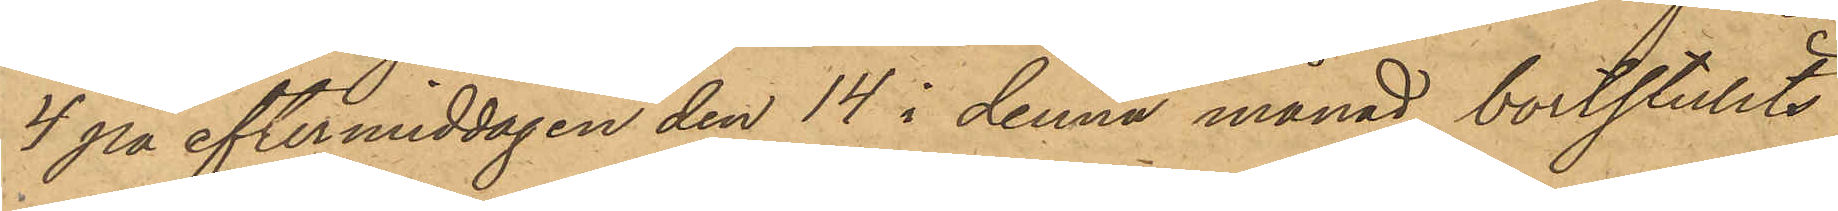4 på eftermiddagen den 14 i denna månad bortstulits
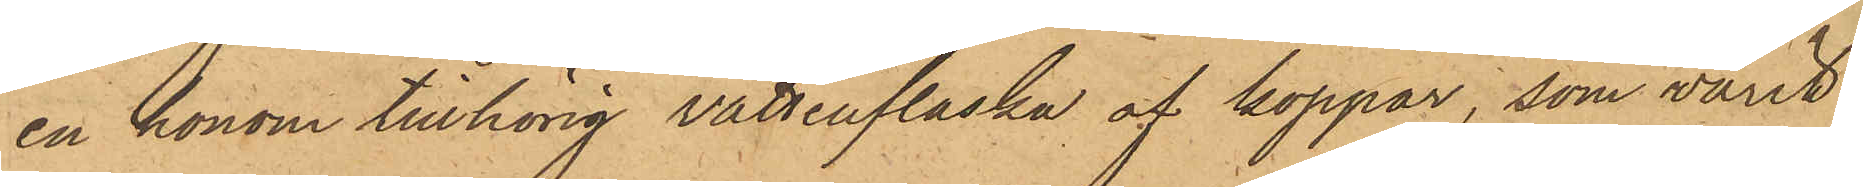en honom tillhörig vattenflaska af koppar, som varit
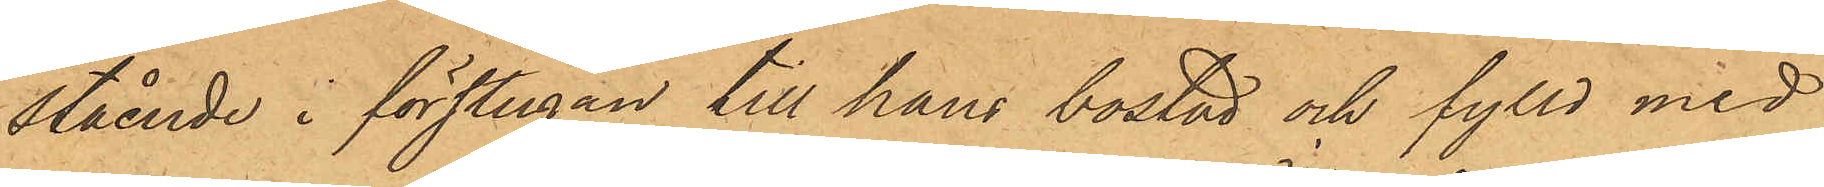stående i förstugan till hans bostad och fylld med
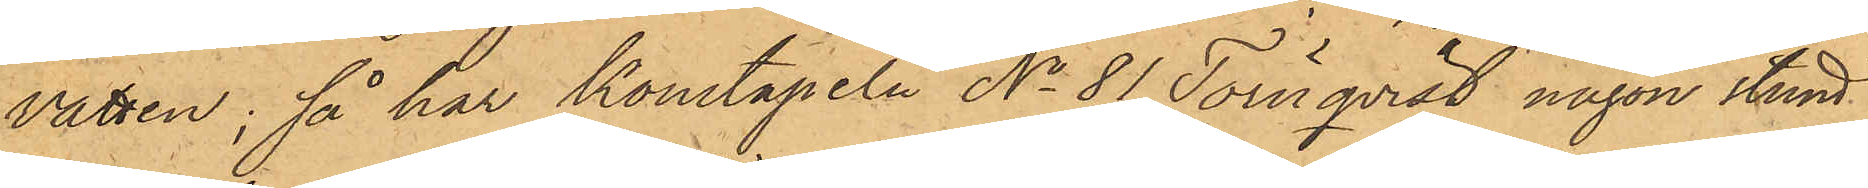vatten; så har konstapeln No 81 Törnqvist någon stund
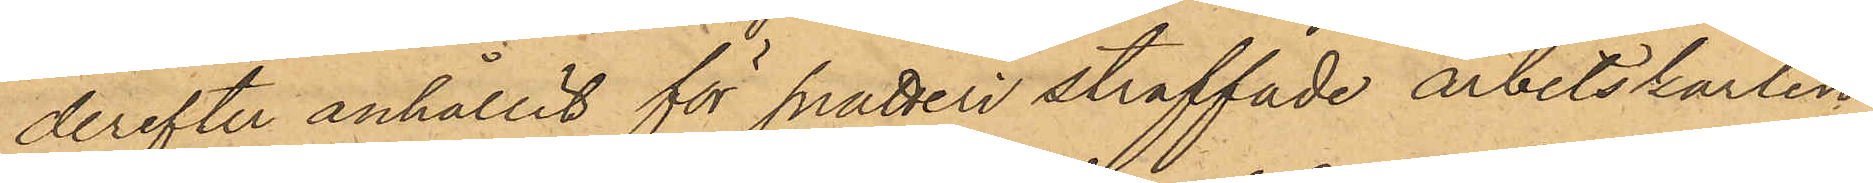derefter anhållit för snatteri straffade arbetskarlen
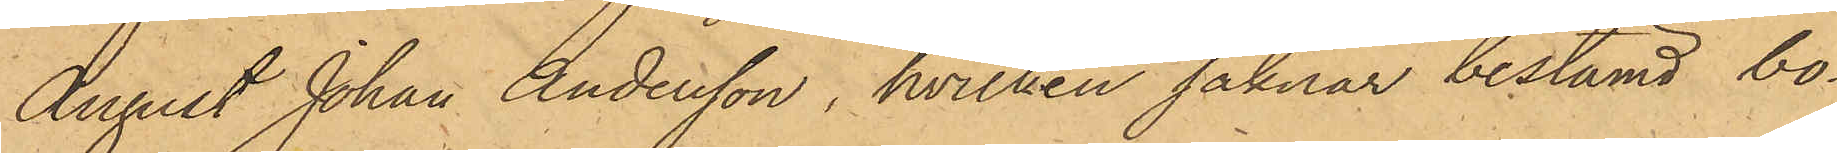August Johan Andersson, hvilken saknar bestämd bo¬
